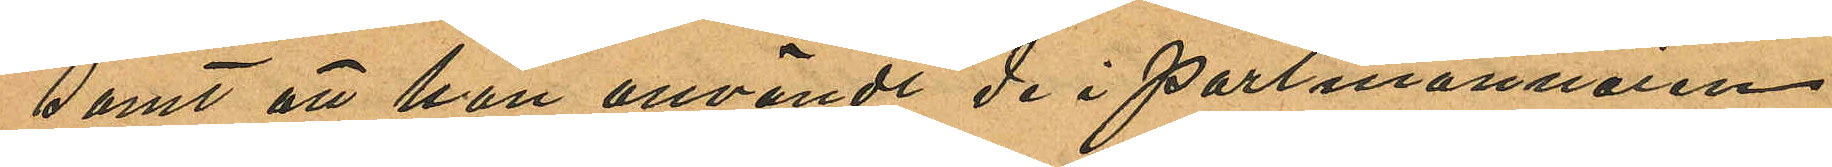samt att han användt de i portmonnaien
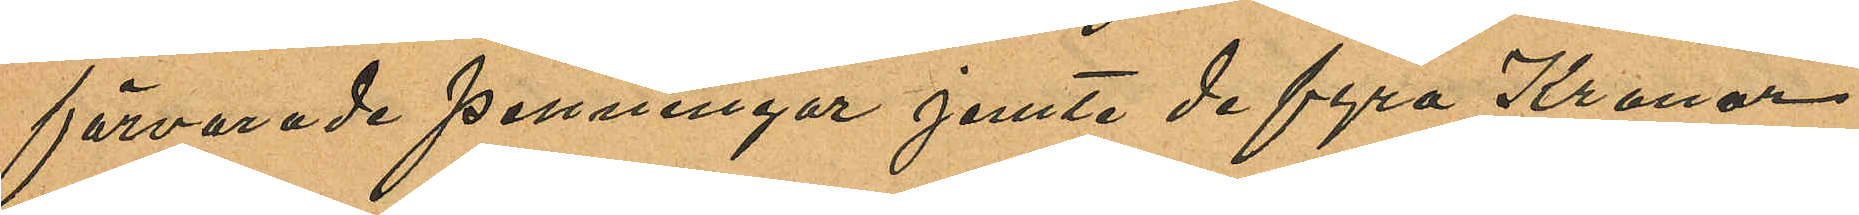förvarade penningar jemte de fyra Kronor
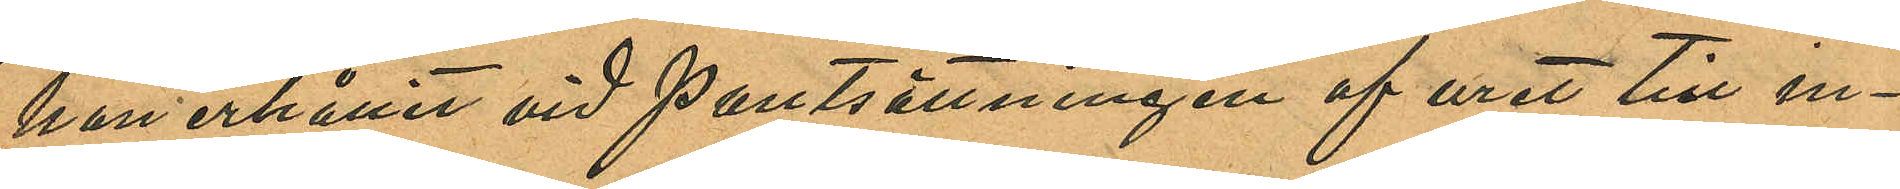han erhållit vid pantsättningen af uret till in¬
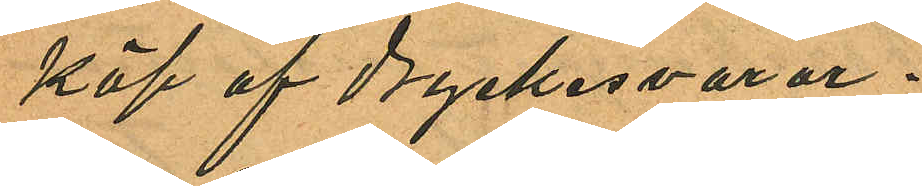köp af dryckesvaror.
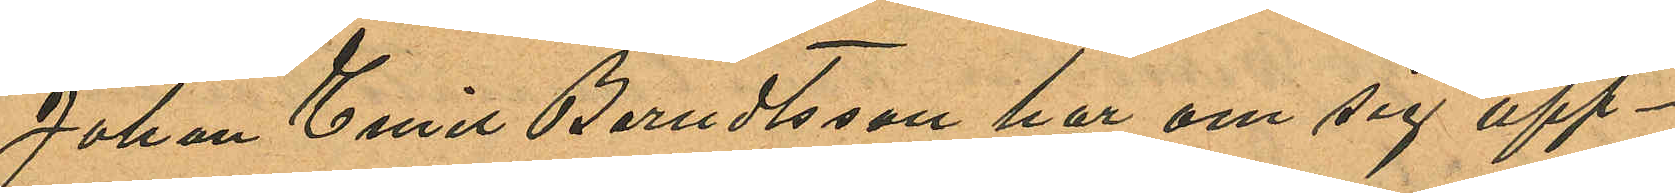Johan Emil Berndtsson har om sig upp¬
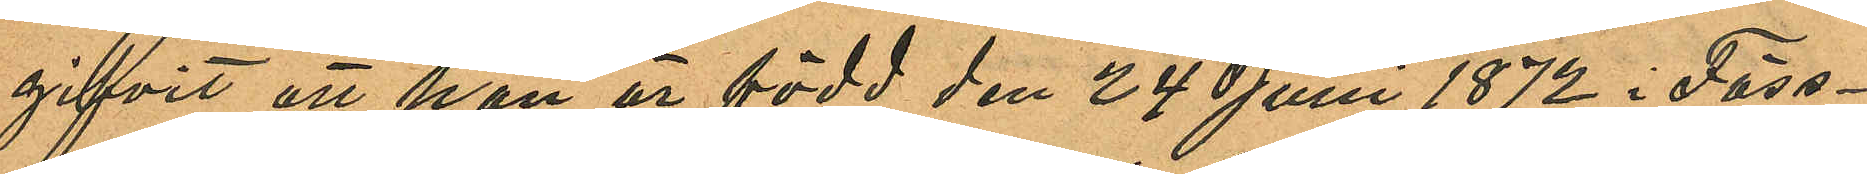gifvit att han är född den 24 Juni 1872 i Fäss¬
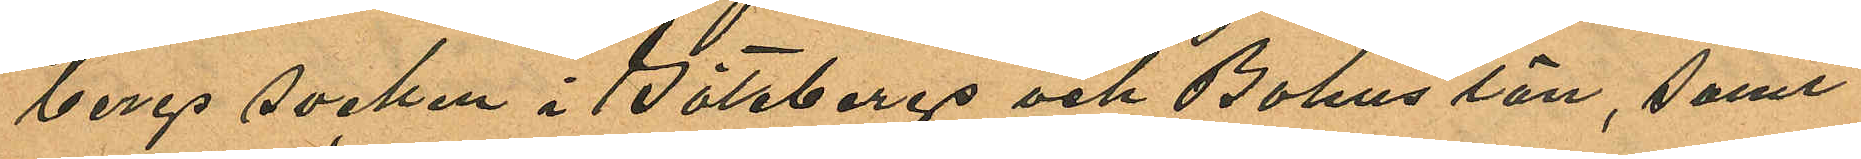bergs socken i Göteborgs och Bohus län, samt
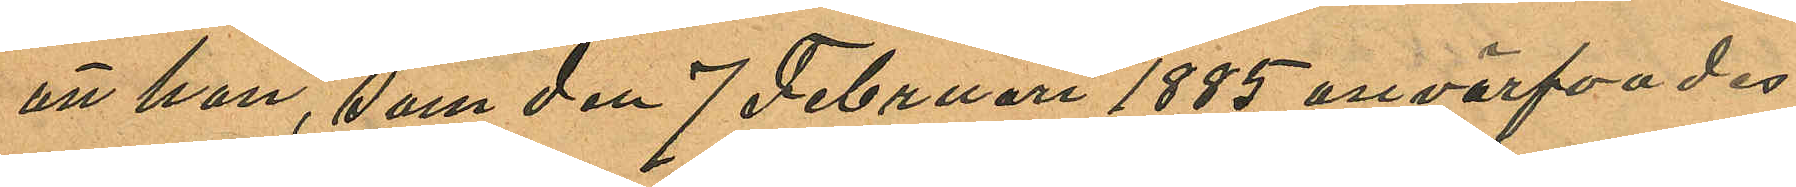att han, som den 7 Februari 1885 anvärfvades
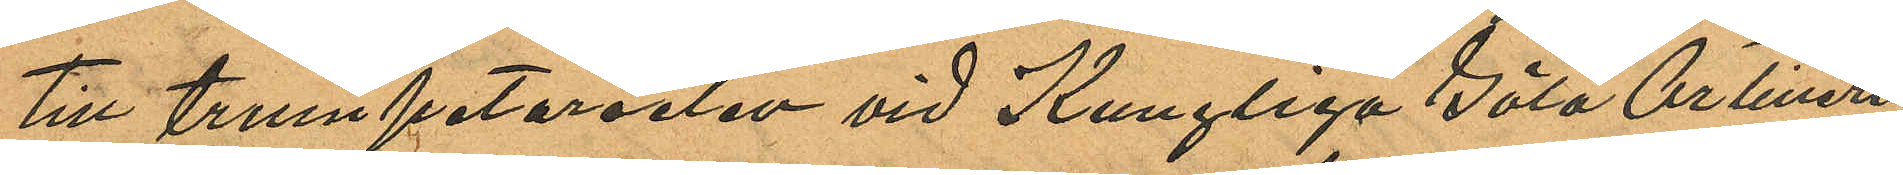till trumpetareelev vid Kungliga Göta Artilleri
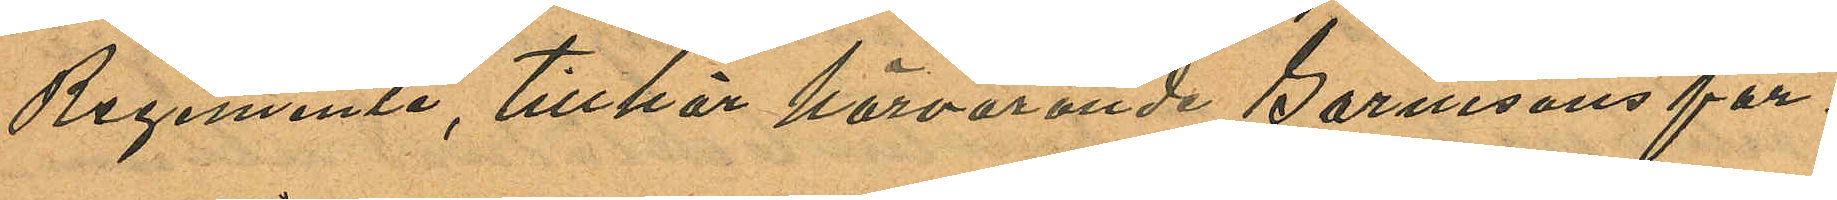Regemente, tillhör härvarande Garnisons för¬
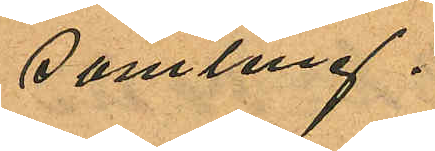samling.
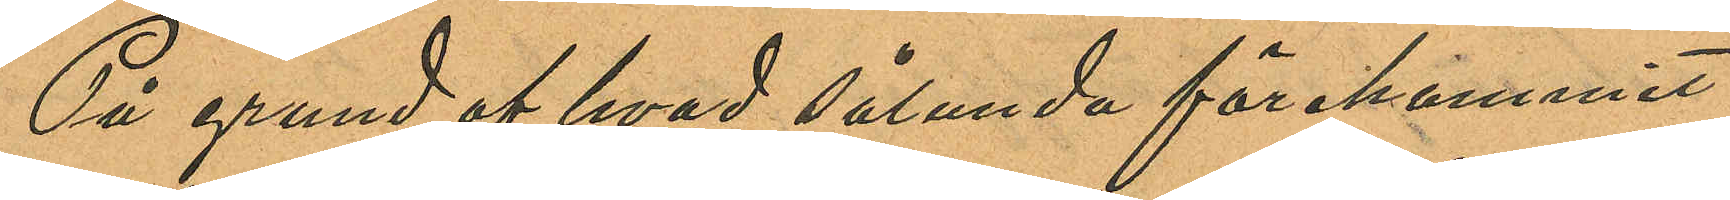På grund af hvad sålunda förekommit
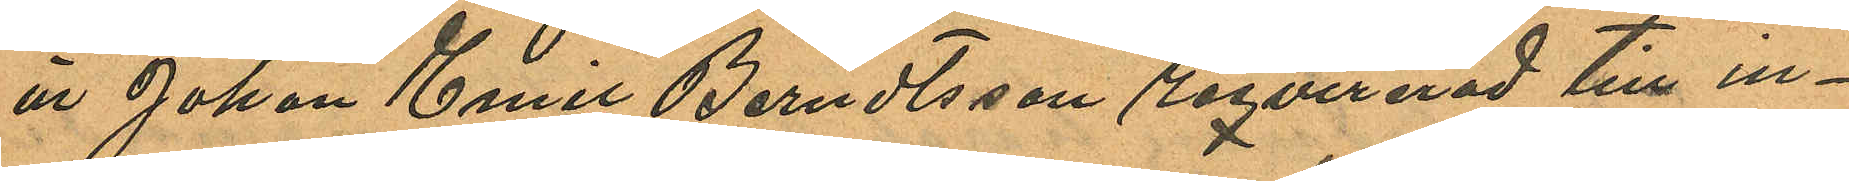är Johan Emil Berndtsson reqvirerad till in¬
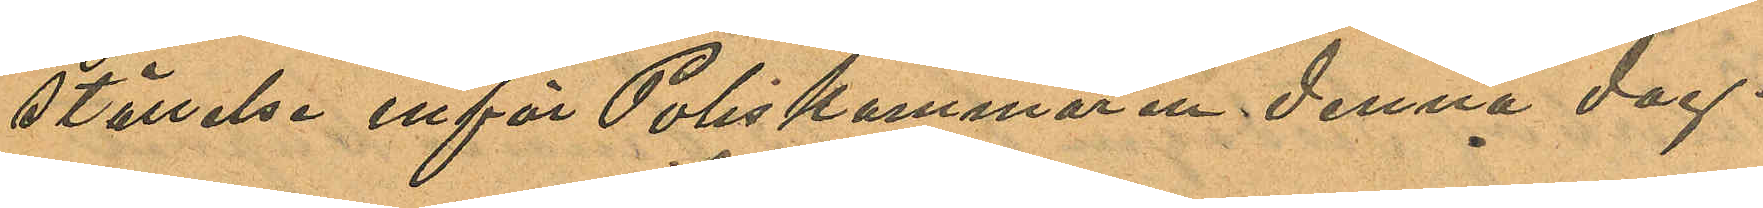ställelse inför Poliskammaren denna dag.
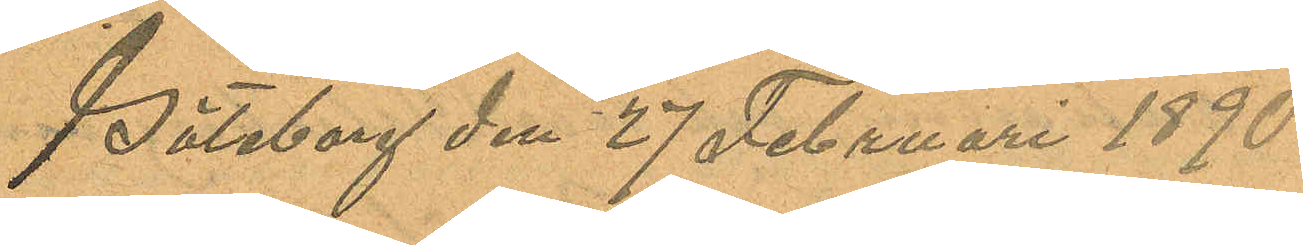Göteborg den 27 Februari 1890.
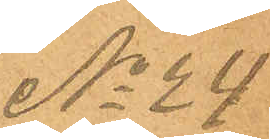No 24
